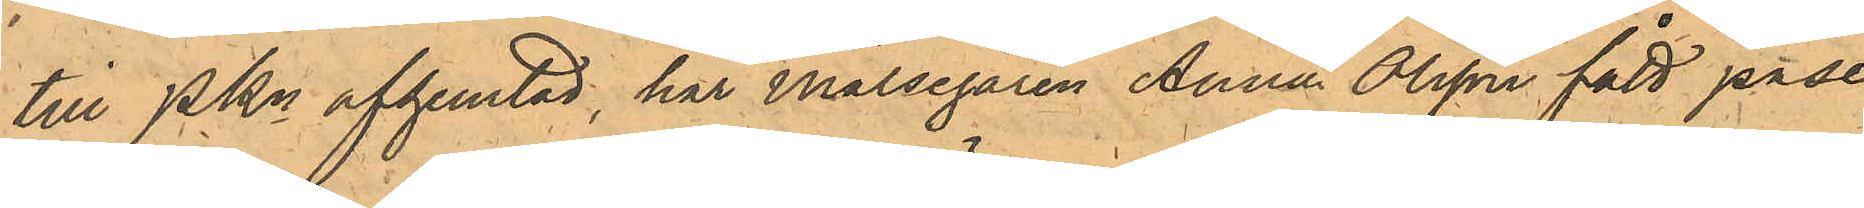till PKn afhemtad, har Målsegaren Anna Olsson fått påse
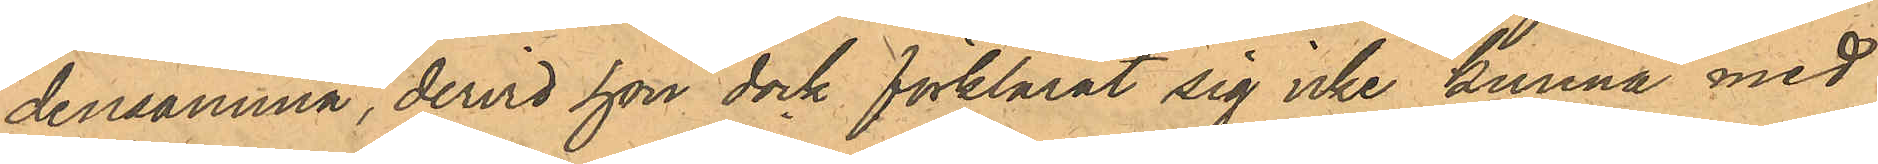densamma, dervid hon dock förklarat sig icke kunna med
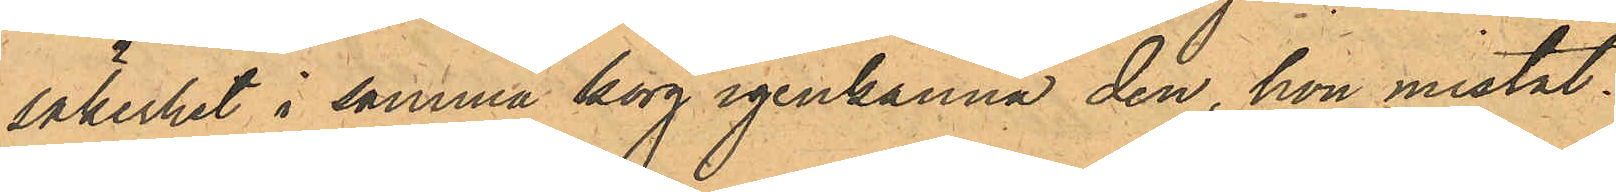säkerhet i samma korg igenkänna den, hon mistat.
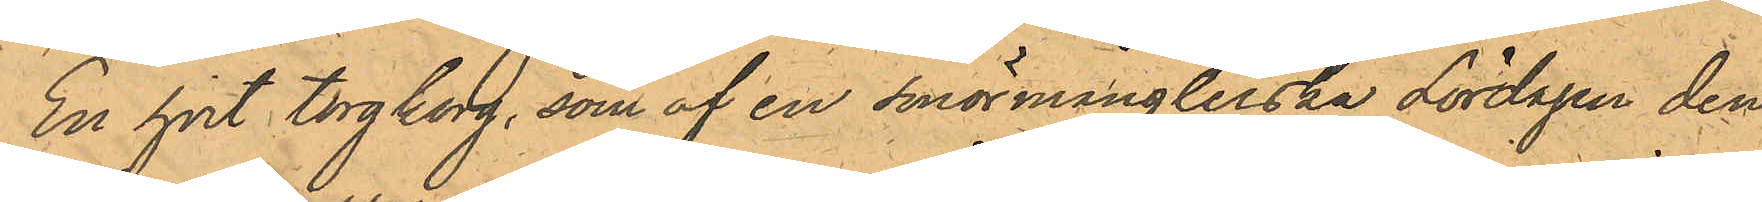En hvit torgkorg, som af en smörmånglerska Lördagen den
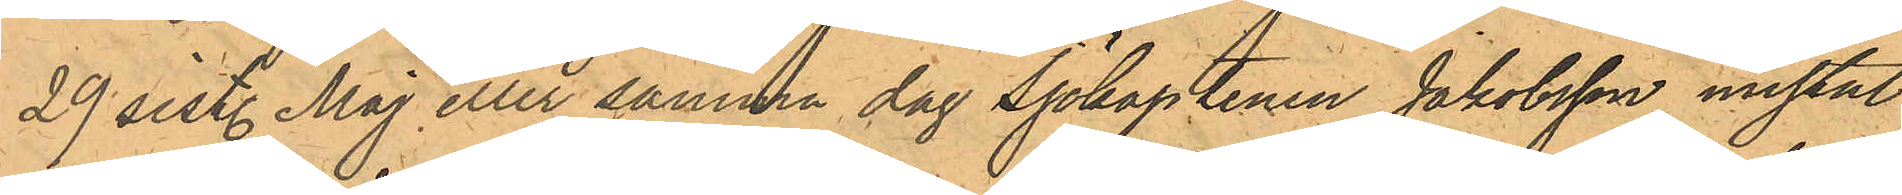29 sist. Maj eller samma dag Sjökaptenen Jakobsson mistat
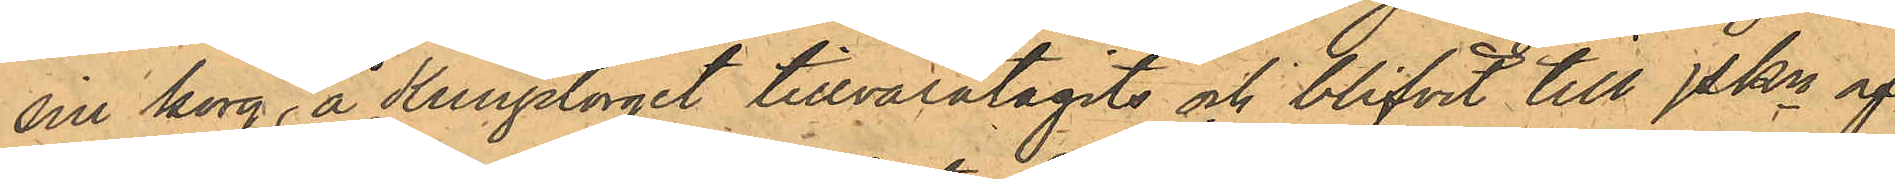sin korg, å Kungstorget tillvaratagits och blifvit till PKn af¬
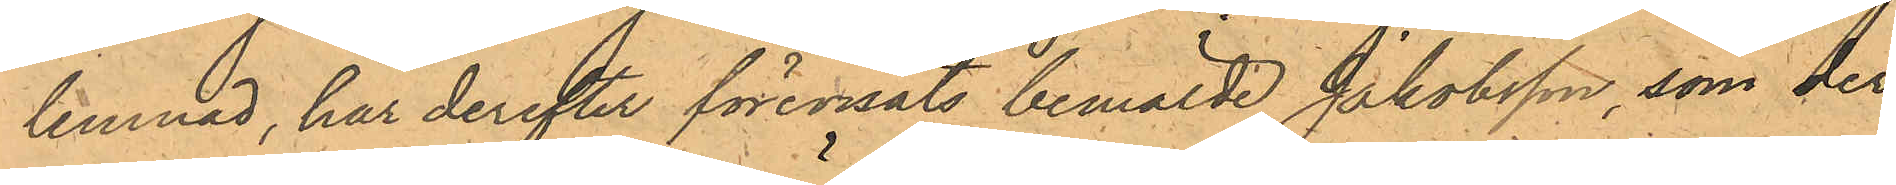lemnad, har derefter förevisats bemälde Jakobsson, som der¬
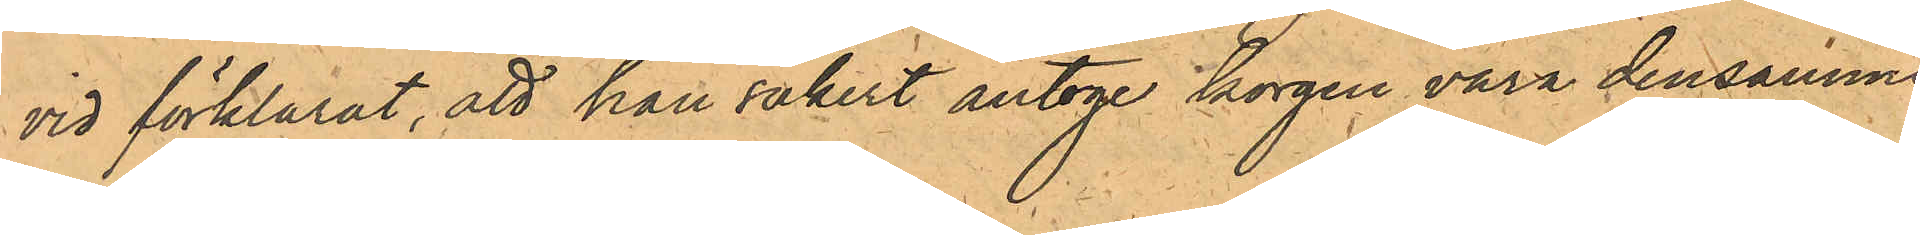vid förklarat, att han säkert antoge korgen vara densamme
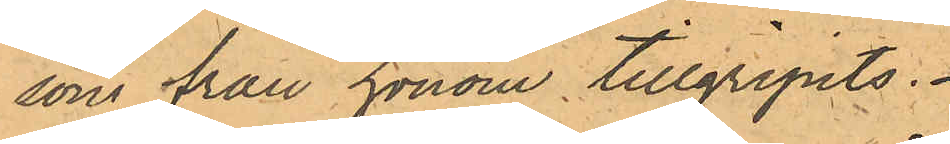som från honom tillgripits.
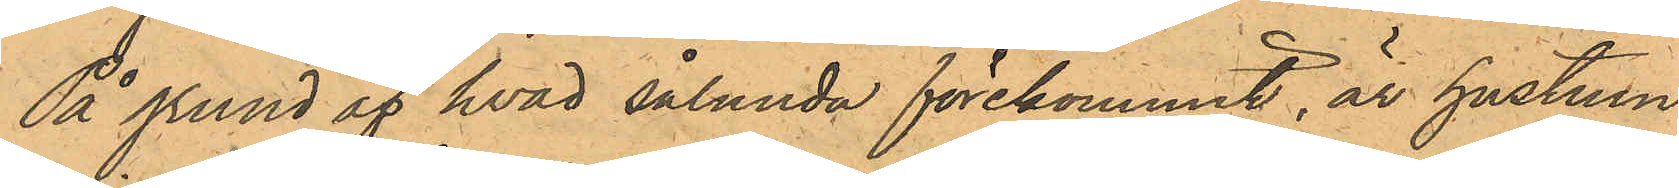På grund af hvad sålunda förekommit, är hustrun
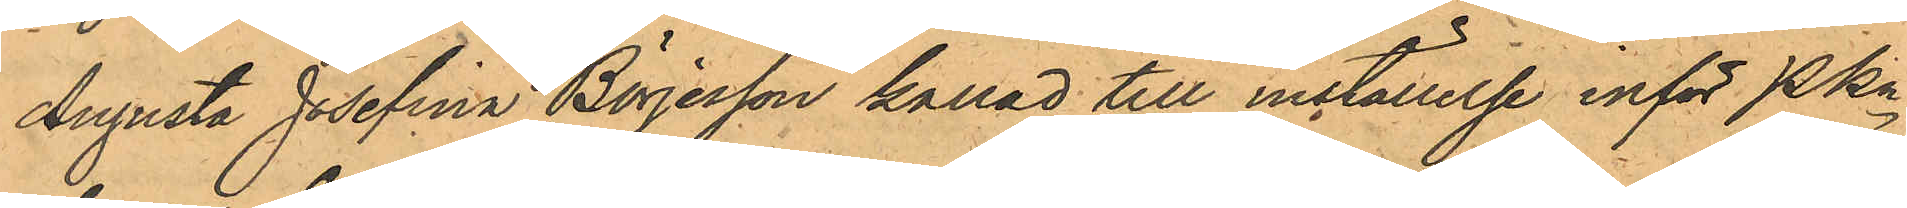Augusta Josefina Börjesson kallad till inställelse inför PKn
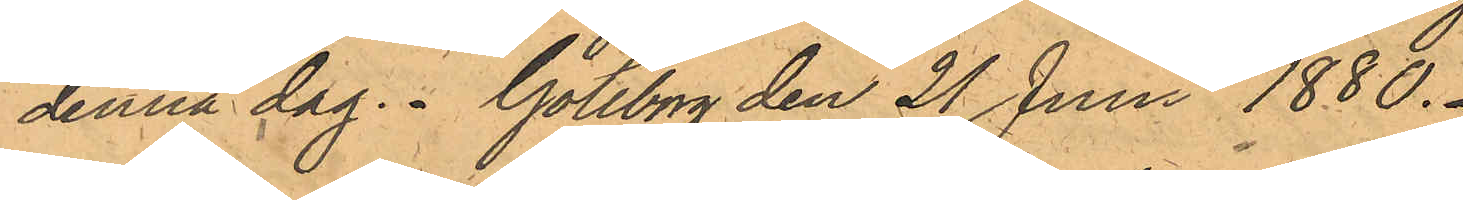denna dag. Göteborg den 21 Juni 1886.
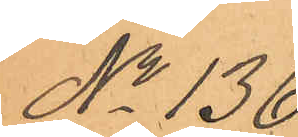No 136.
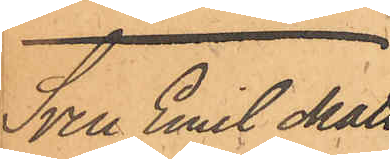Sven Emil Matts¬
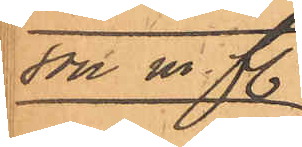son m fl.
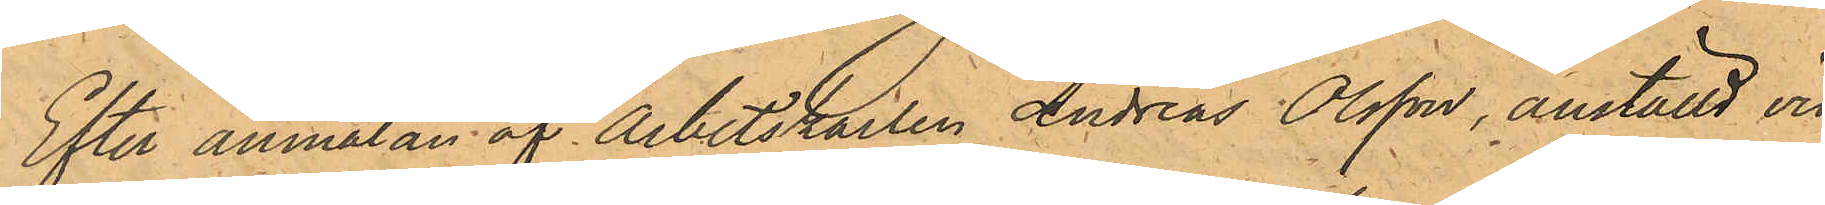Efter anmälan af Arbetskarlen Andreas Olsson, anställd vid
